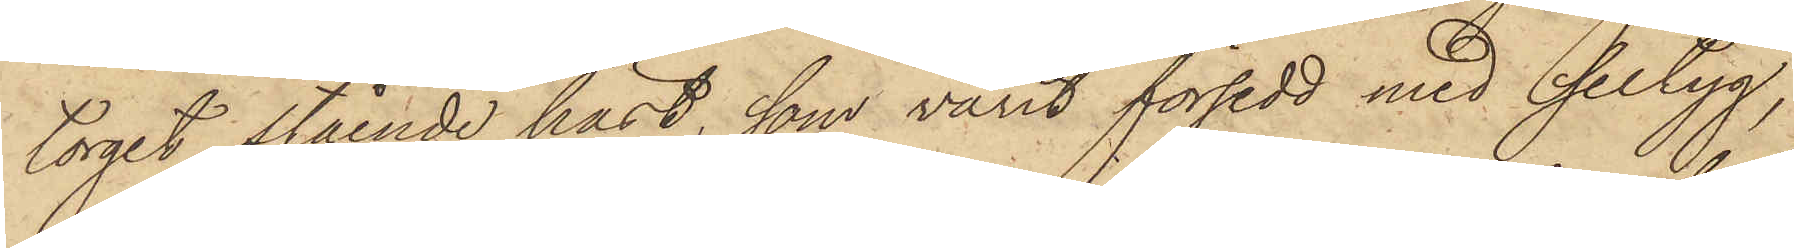torget stående häst, som varit försedd med seltyg,
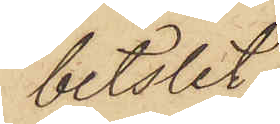betslet
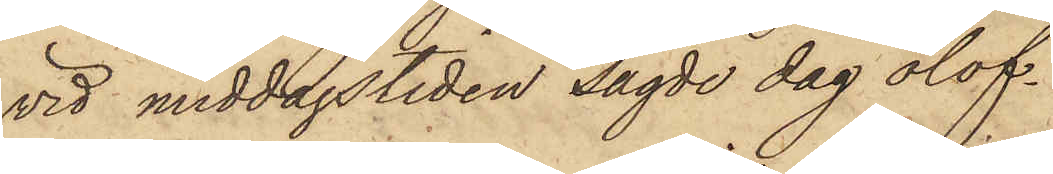vid middagstiden sagde dag olof¬
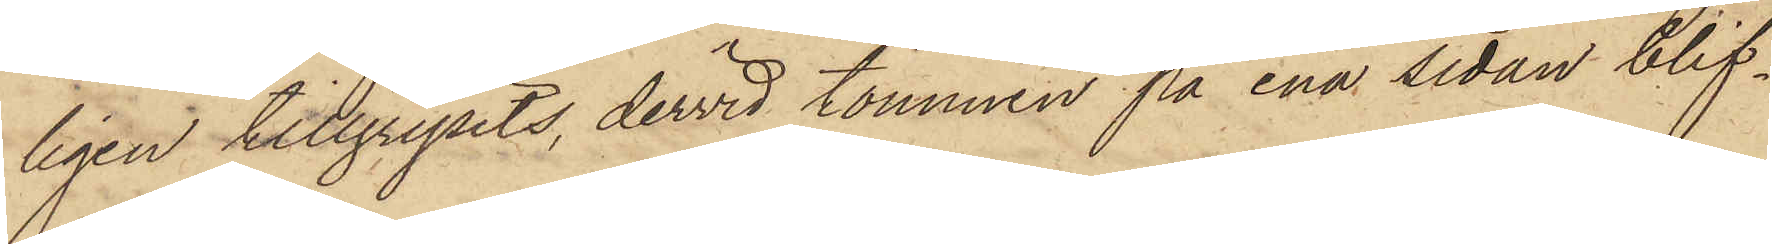ligen tillgripits, dervid tömmen på ena sedan blif¬
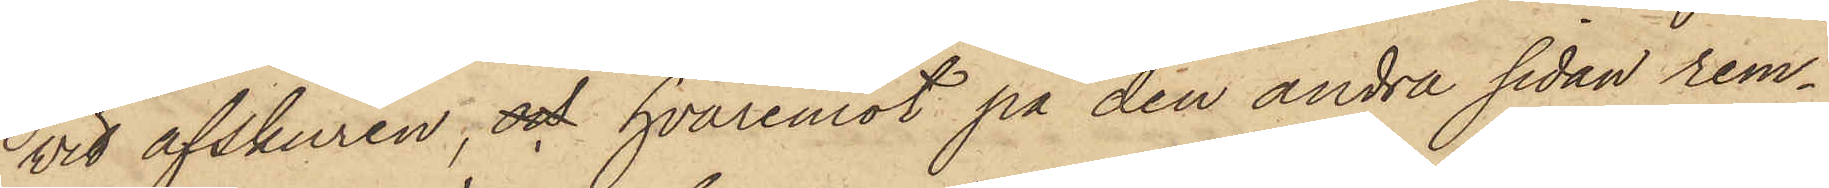vit afskuren, och hvaremot på den andra sidan rem¬
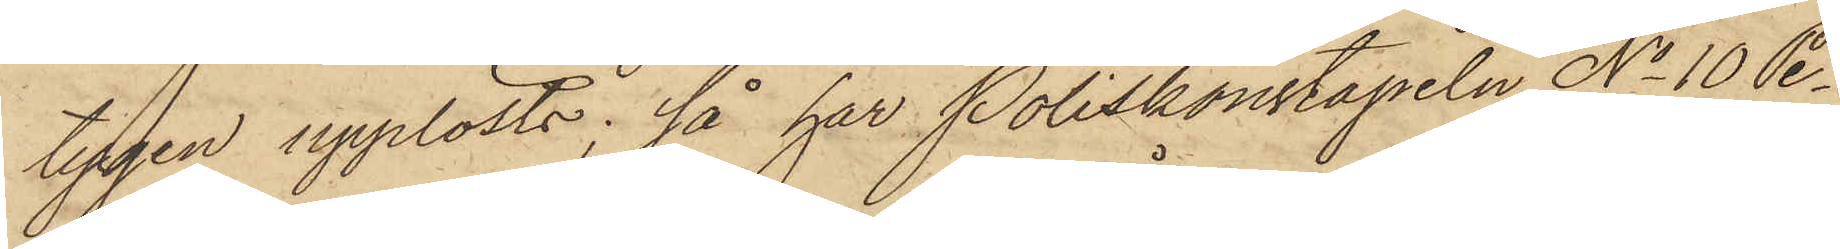tygen upplösts; så har Poliskonstapeln No 10 Pe¬
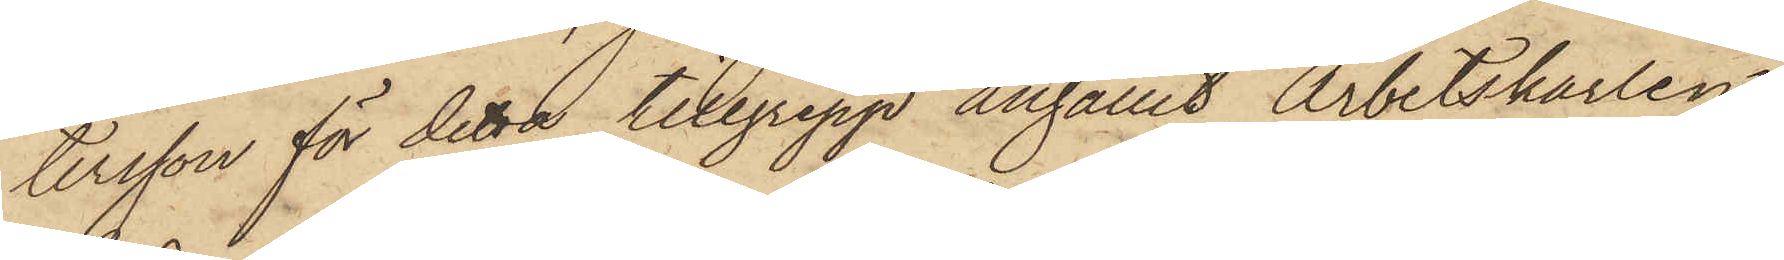tersson för detta tillgrepp anhållit Arbetskarlen
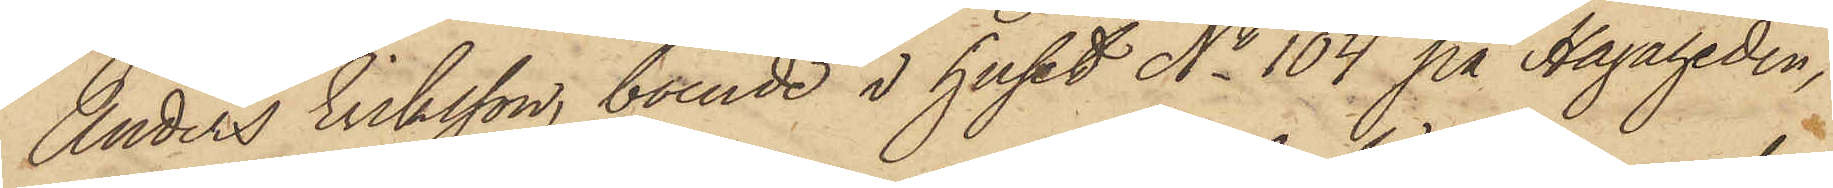Anders Eriksson, boende i huset No 104 på Hagaheden,
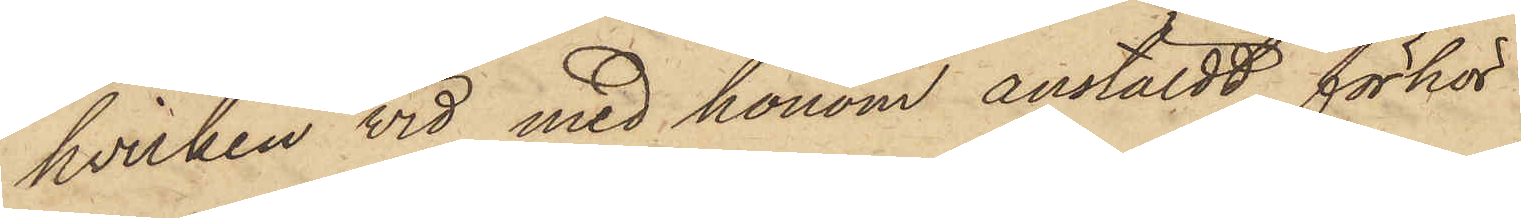hvilken vid med honom anstäldt förhör
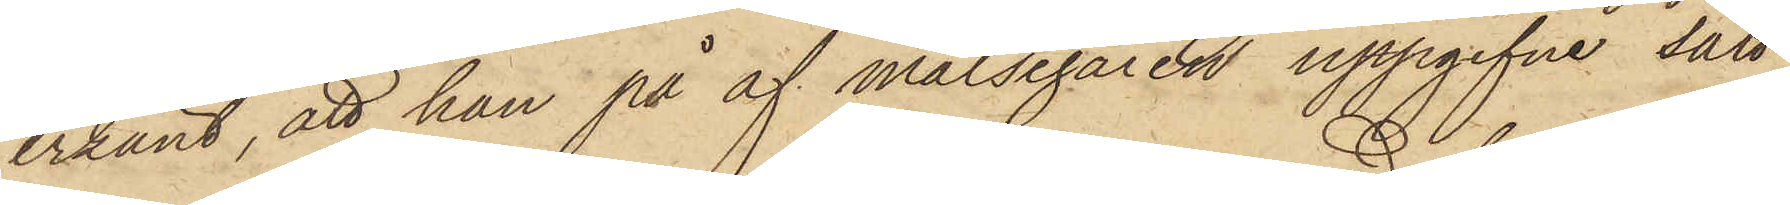erkänt, att han på af målsegaren uppgifne sätt
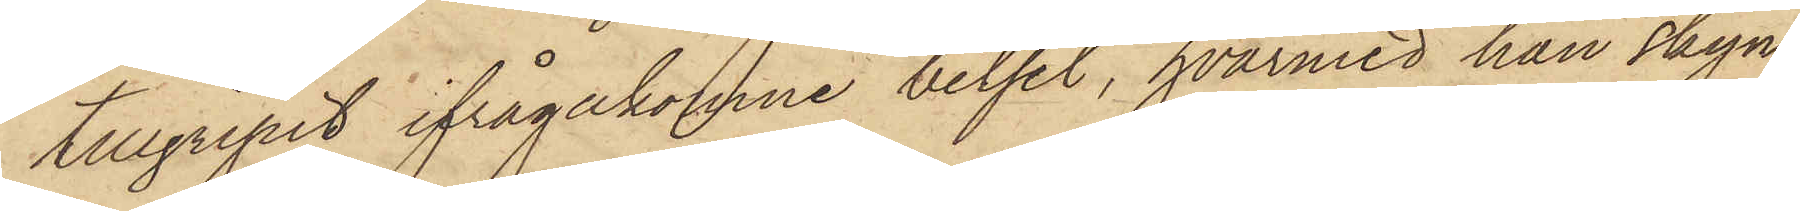tillgripit ifrågakomne betsel, hvarmed han skyn¬
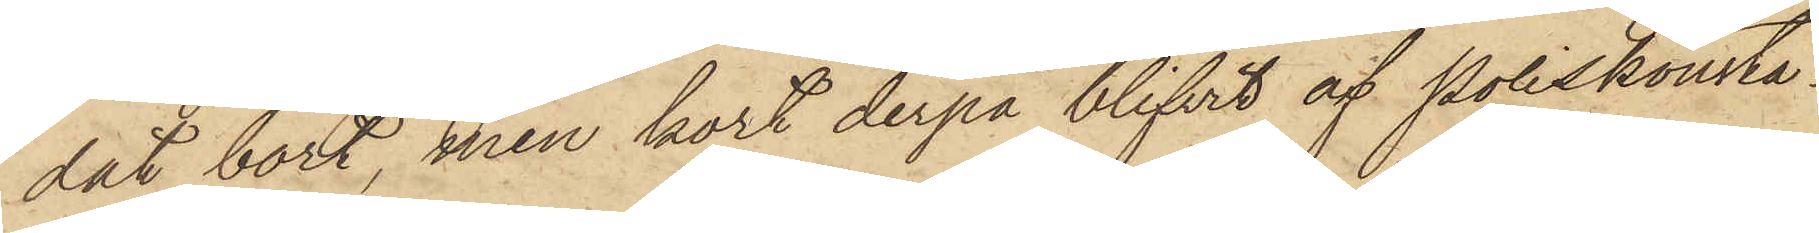dat bort, men kort derpå blifvit af Poliskonsta¬
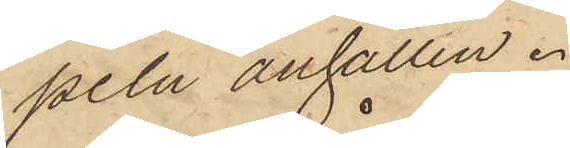peln anhållen.
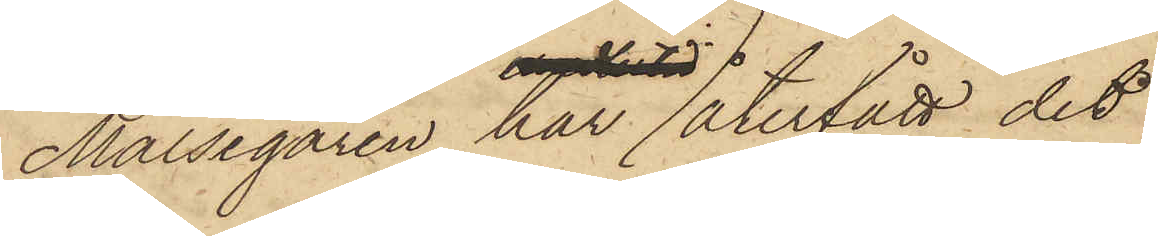Målsegaren har återfått det
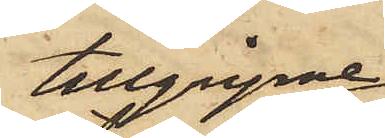tillgripne
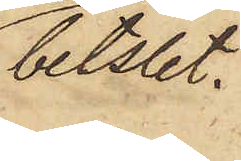betslet.
